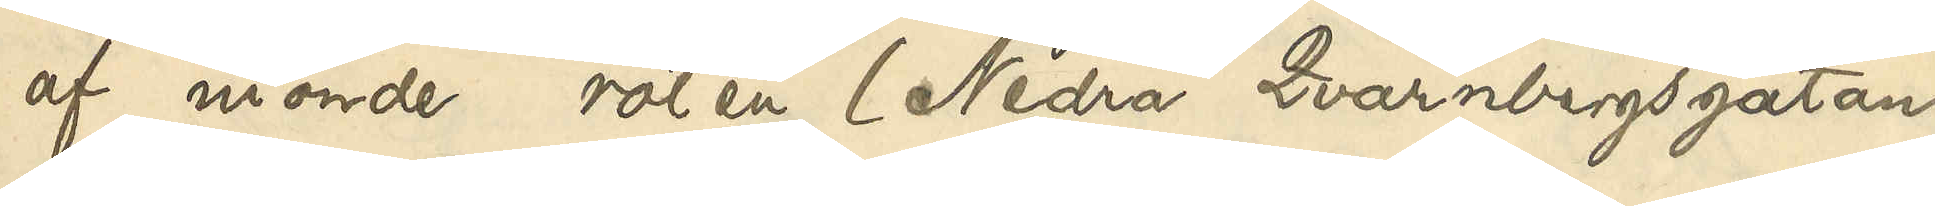af nionde roten (Nedra Qvarnbergsgatan
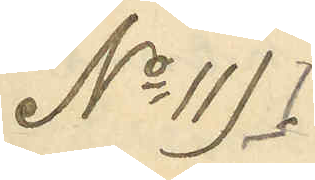No 11).
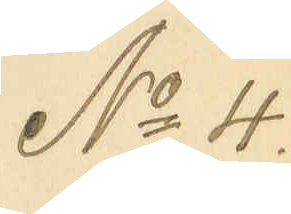No 4.
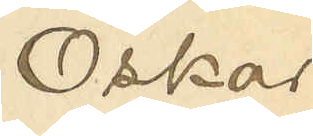Oskar
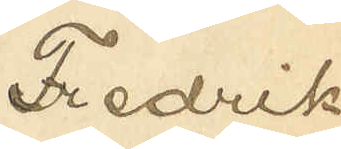Fredrik
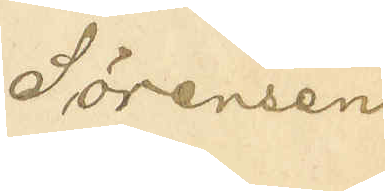Sörensen
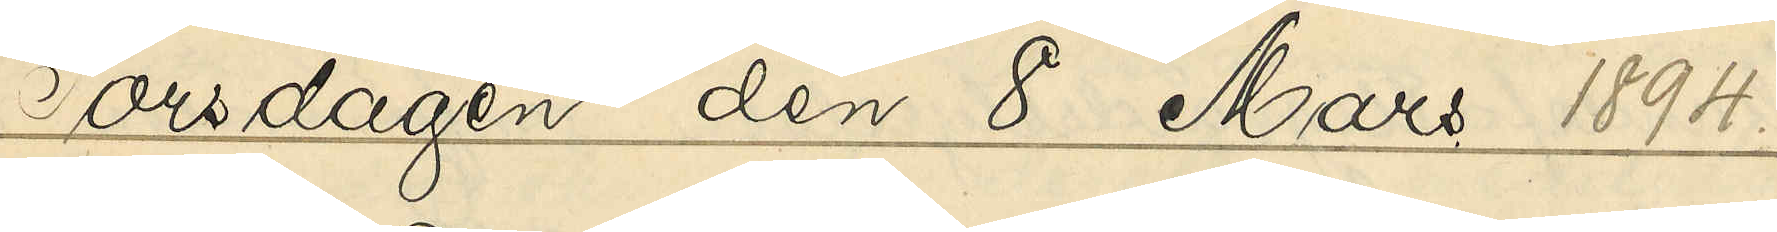Torsdagen den 8 Mars 1894.
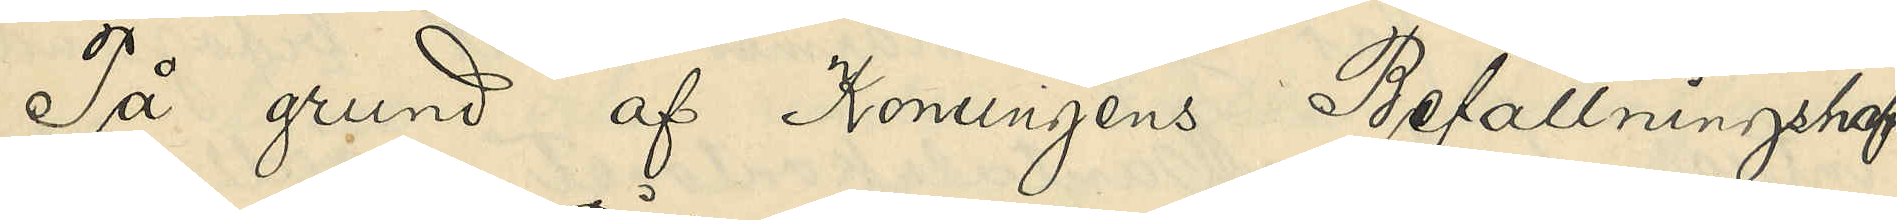På grund af Konungens Befallningshaf¬
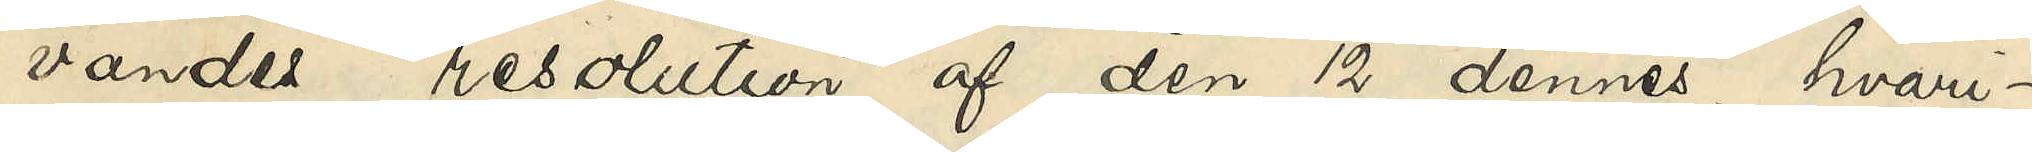vandes resolution af den 12 dennes, hvari¬
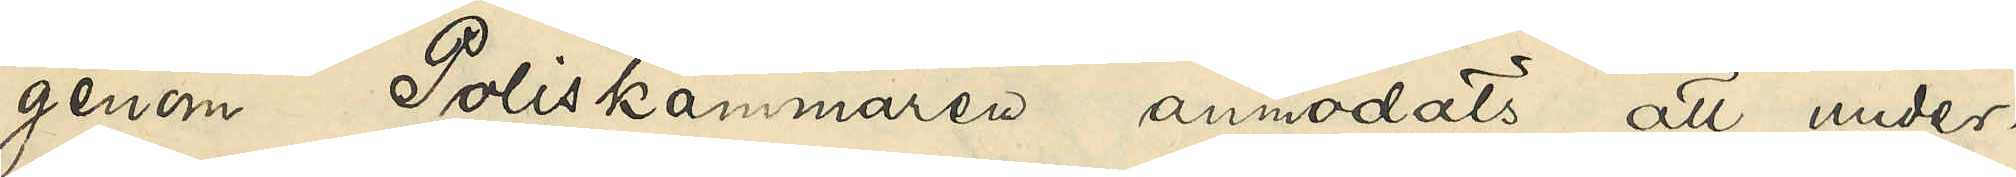genom Poliskammaren anmodats att under¬
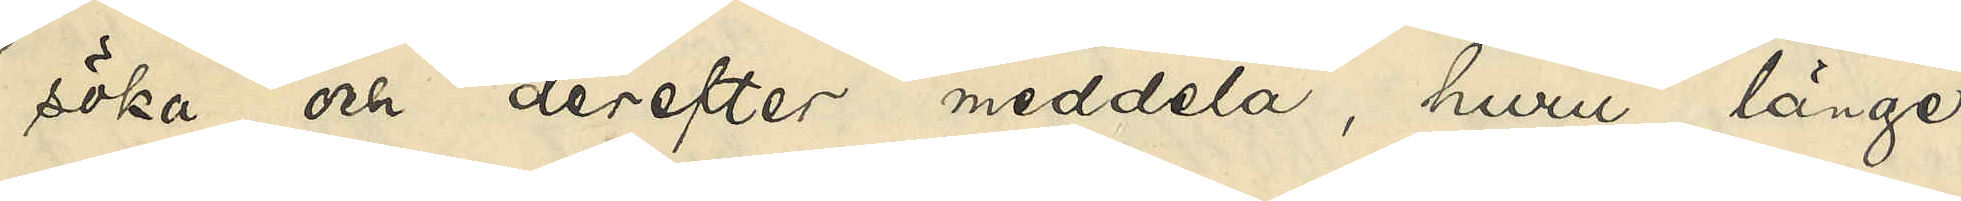söka och derefter meddela, huru länge
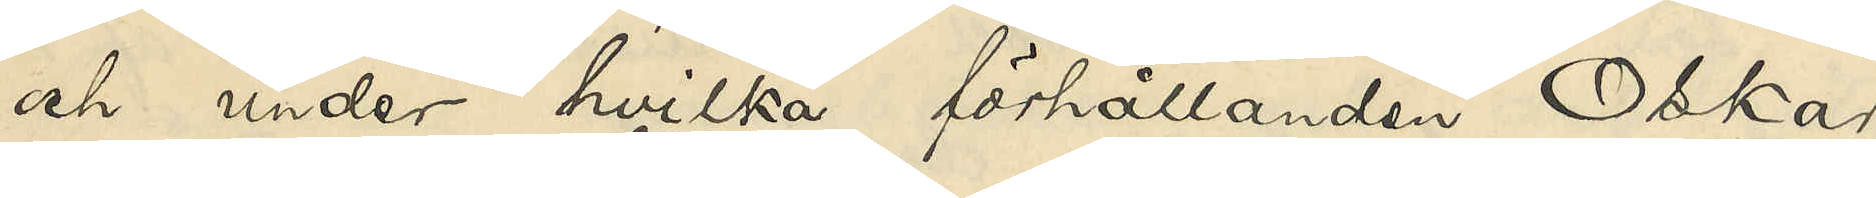och under hvilka förhållanden Oskar
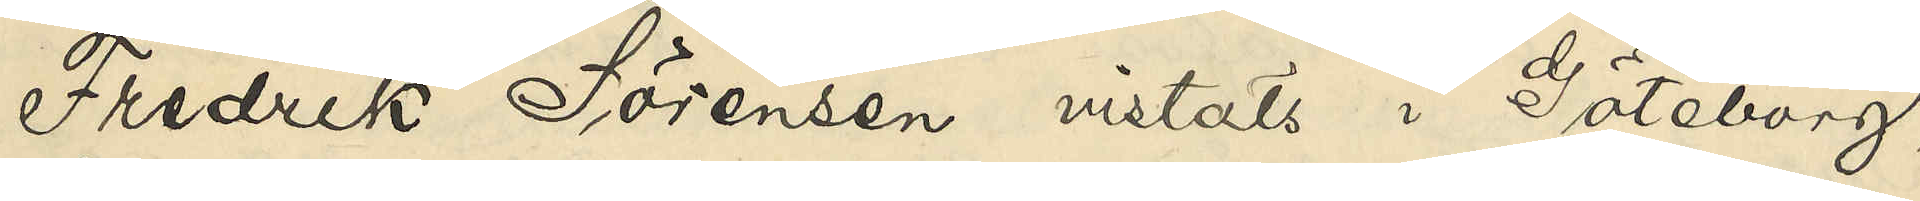Fredrik Sörensen vistats i Göteborg,
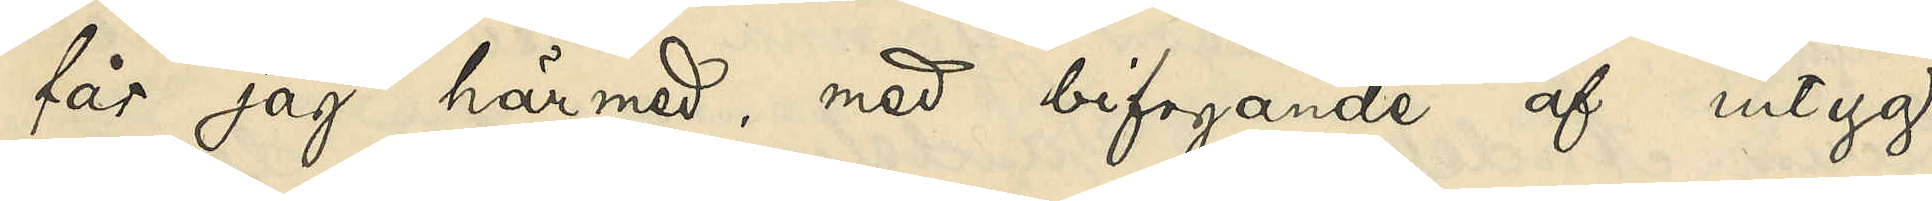får jag härmed, med bifogande af intyg
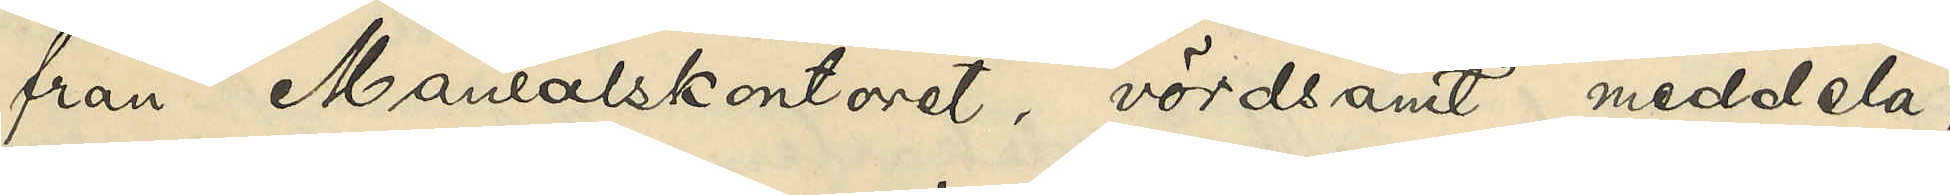från Mantalskontoret, vördsamt meddela,
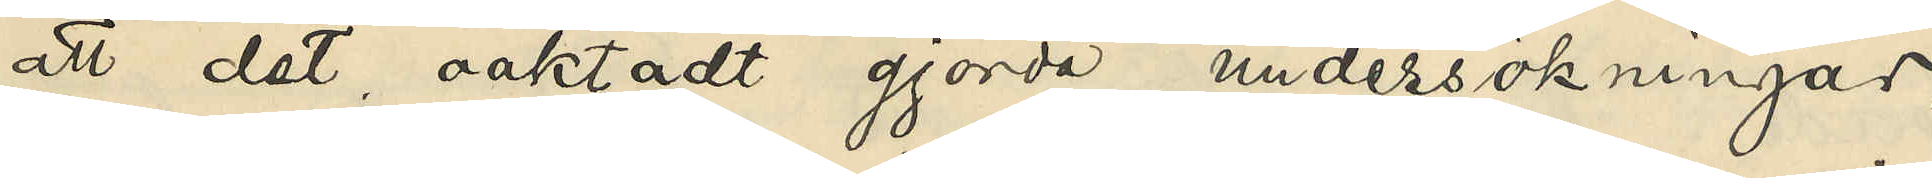att det oaktadt gjorda undersökningar,
